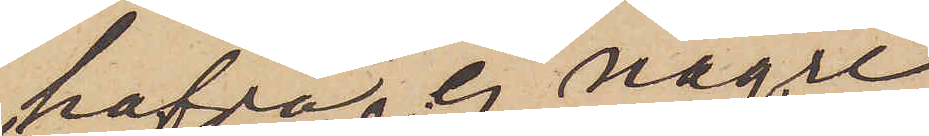hafva ej någre
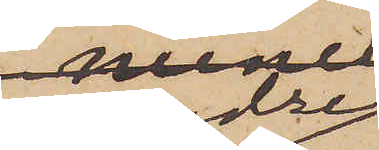andre
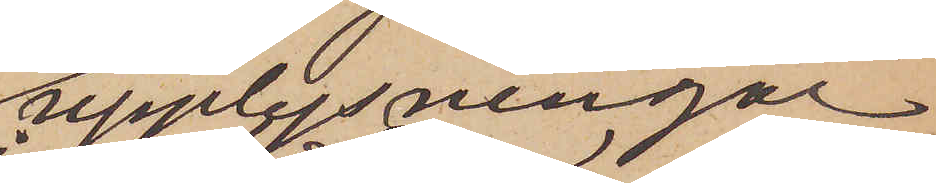upplysningar
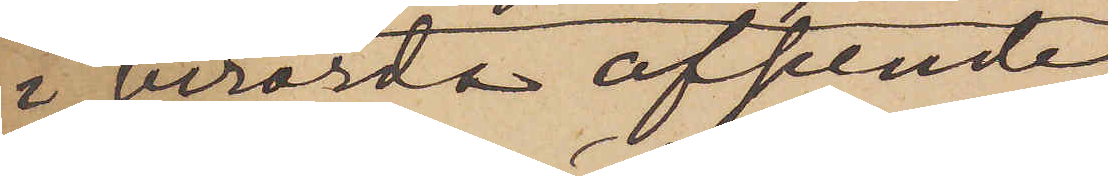i berörda afseende
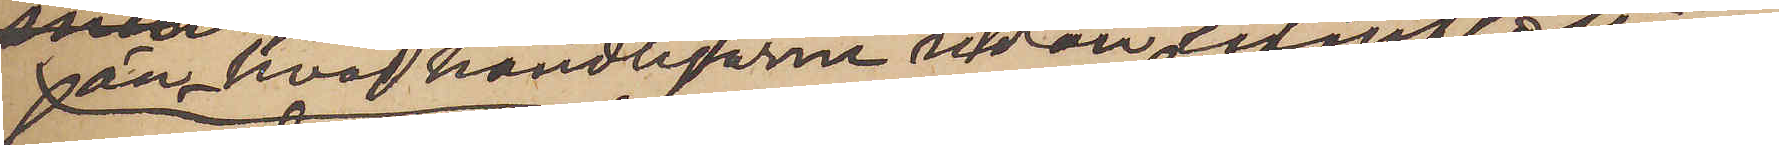än hvad handligarne redan innefattar
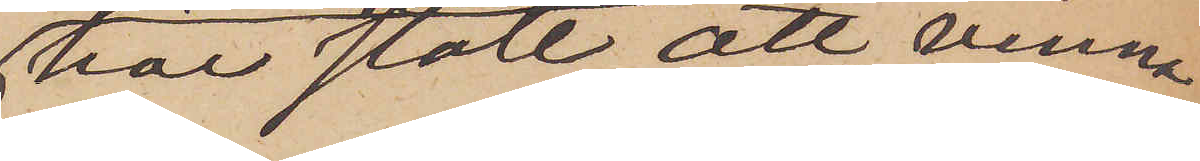har stått att vinna,
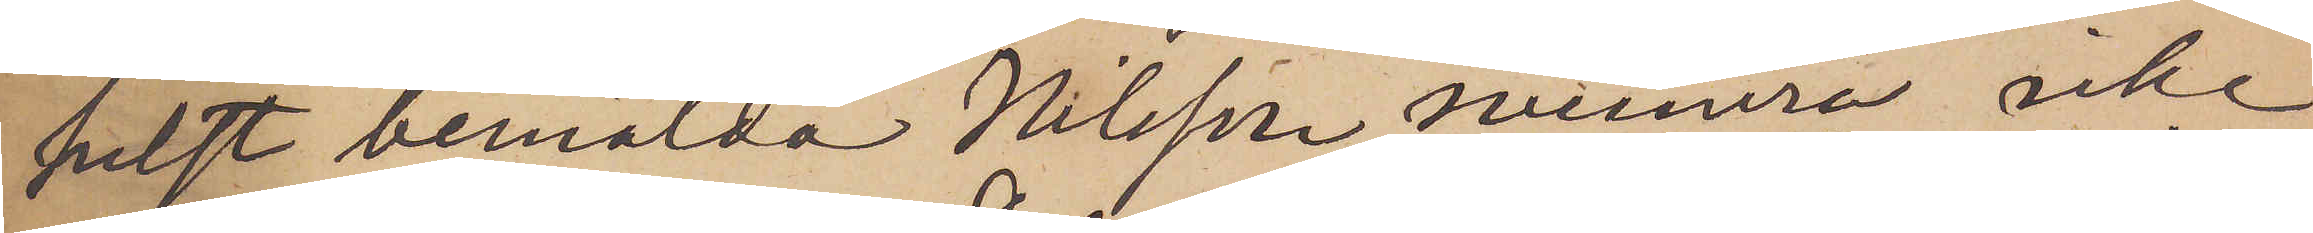helst bemälda Nilsson numera icke
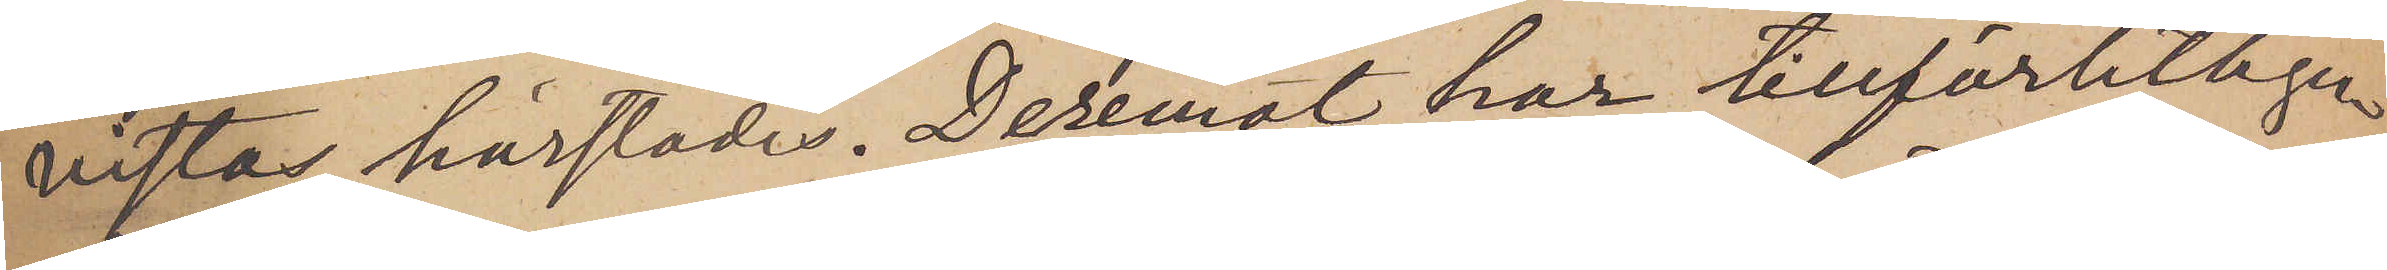lfta härstädes. Deremot har tillförlitligen
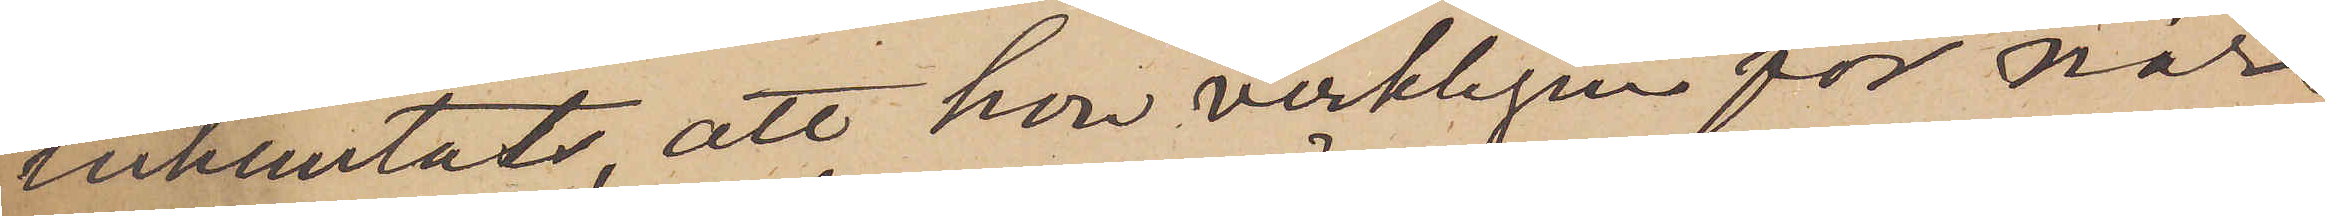inhemtats, att hon verkligen för när¬
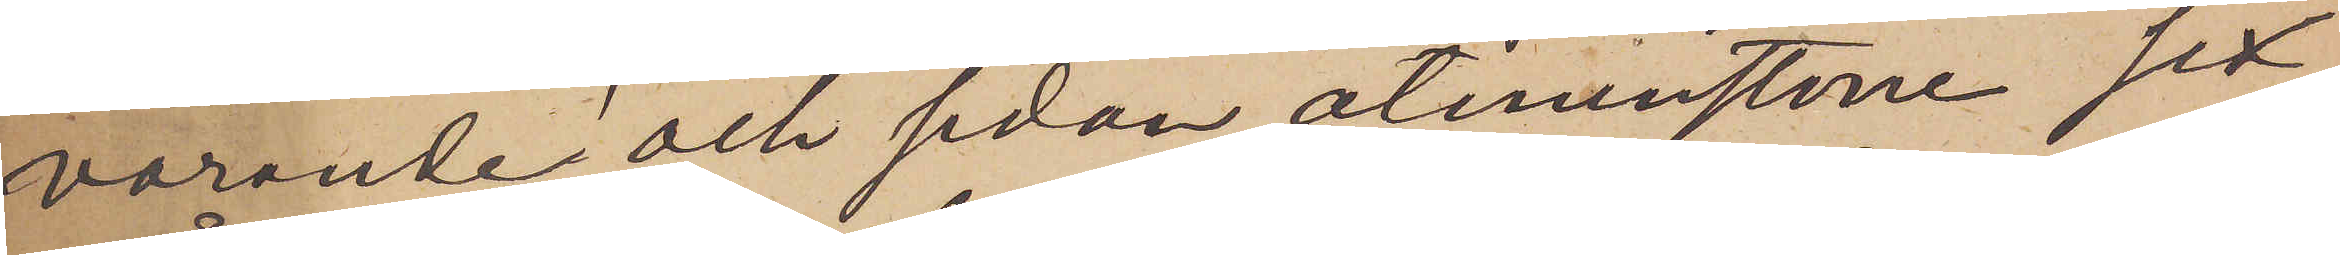varande och sedan åtminstone sex
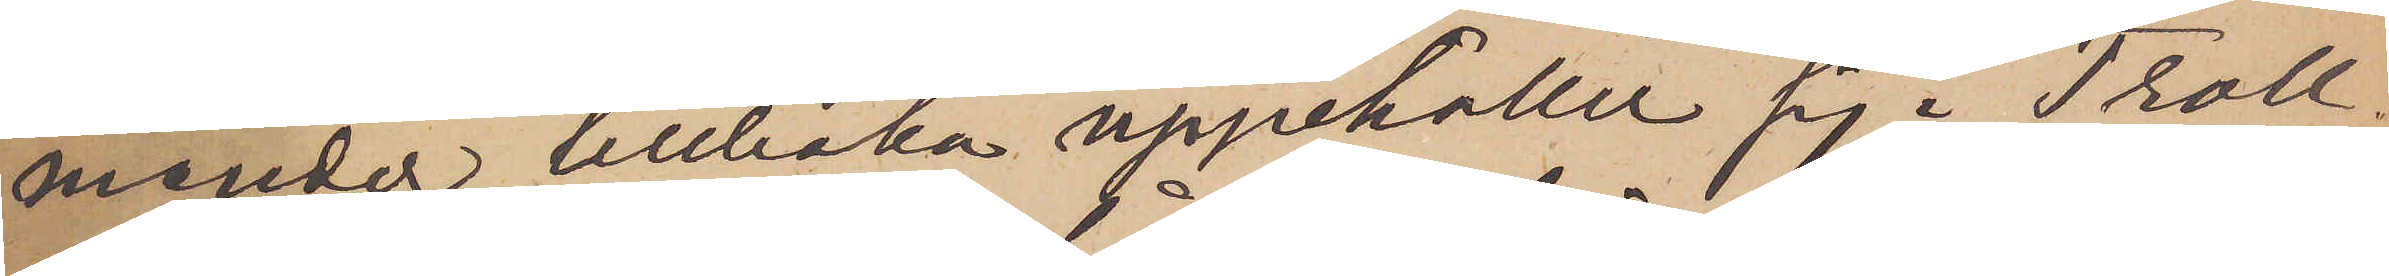månader tillbaka uppehåller sig i Troll¬
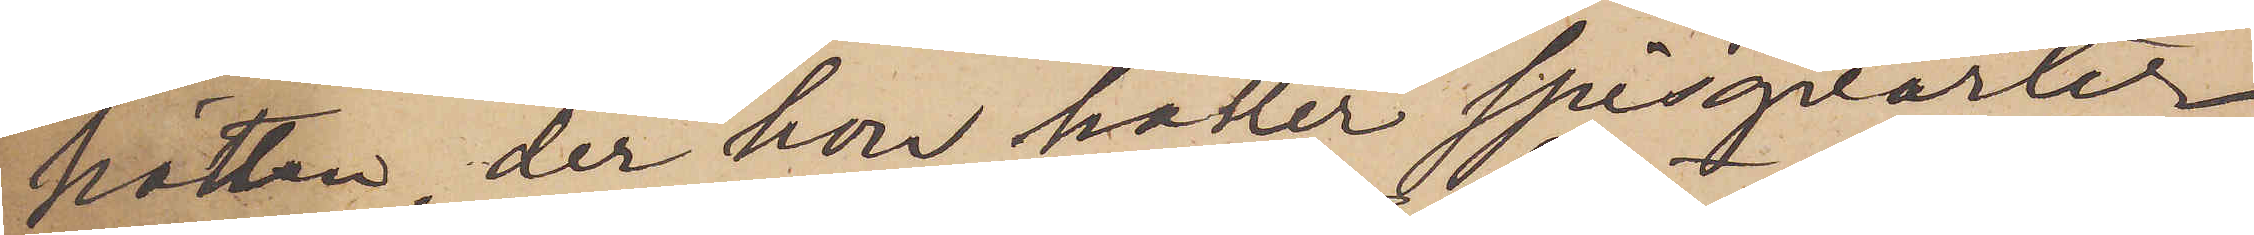hättan, der hon håller spisqvarter.
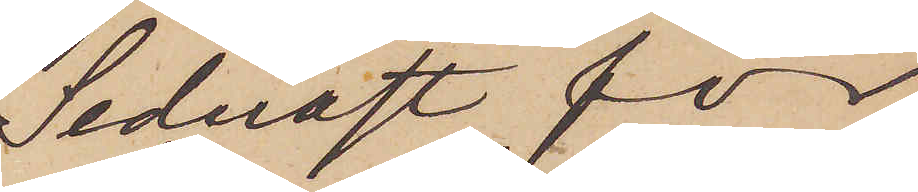Sednast för
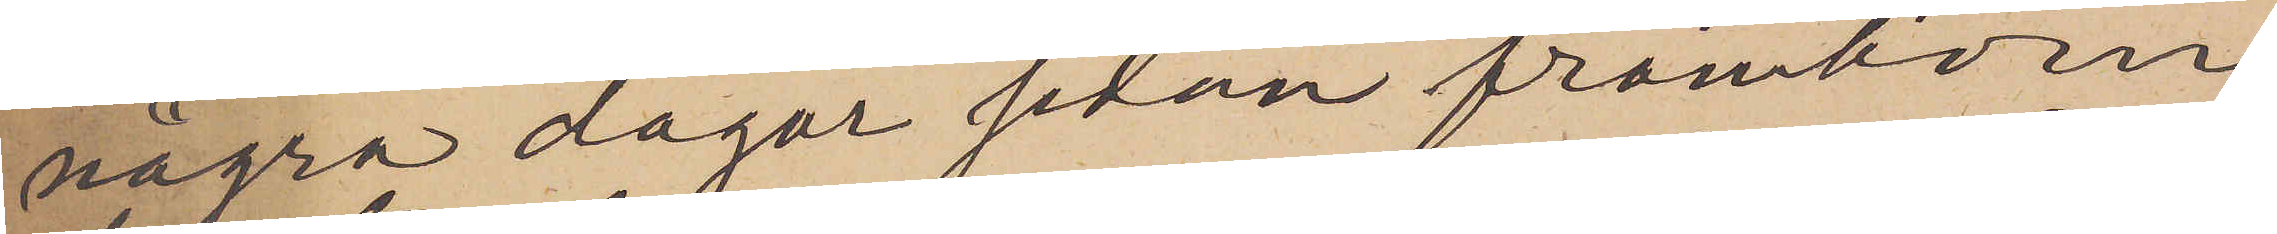några dagar sedan framkom
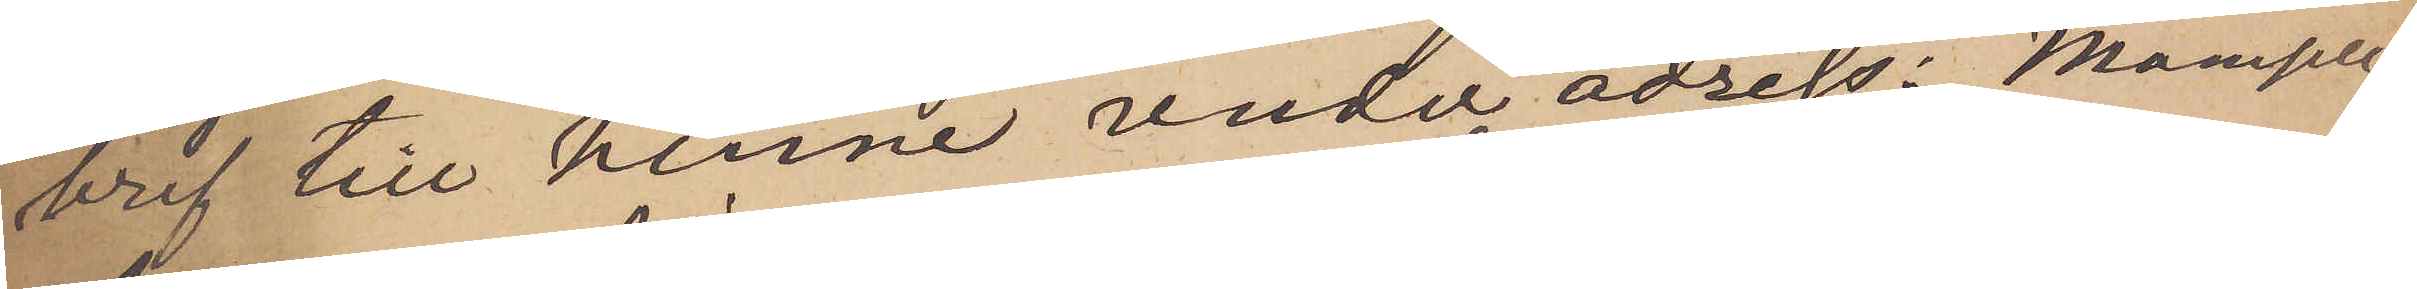bref till henne under adress: Mamsell
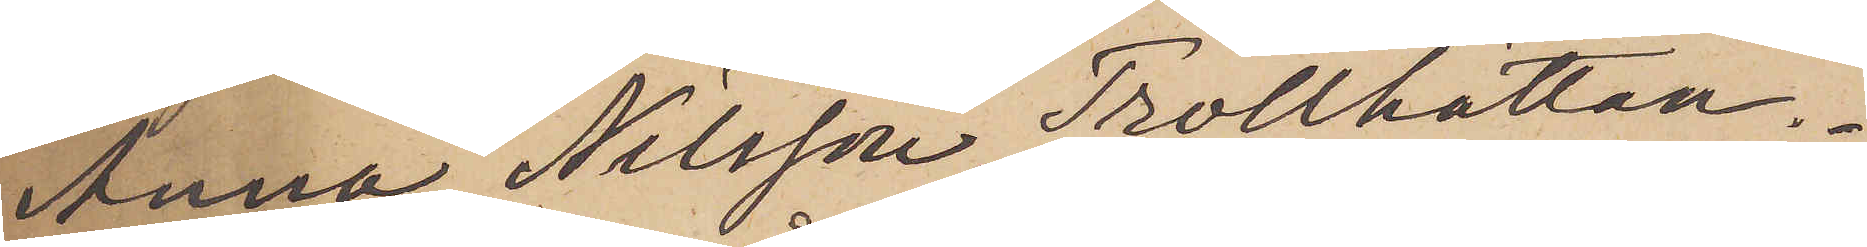Anna Nilsson, Thollhättan.
